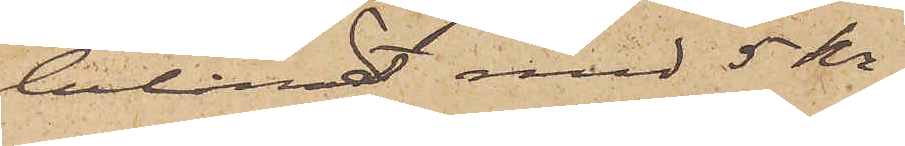belånadt med 5 kr.
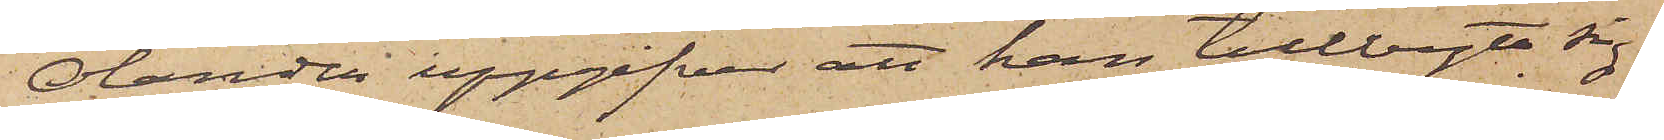Olander uppgifver att han tillbytt sig
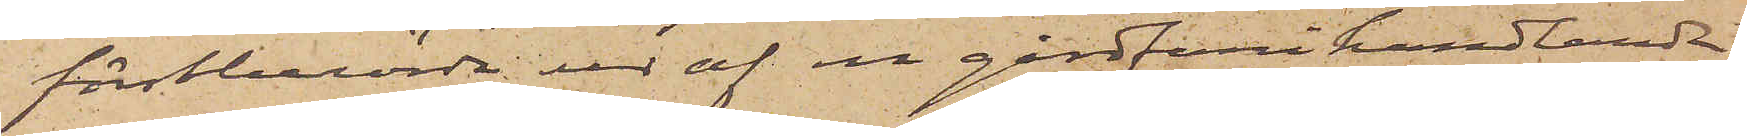förstberörde ur af en gårdfarihandlande
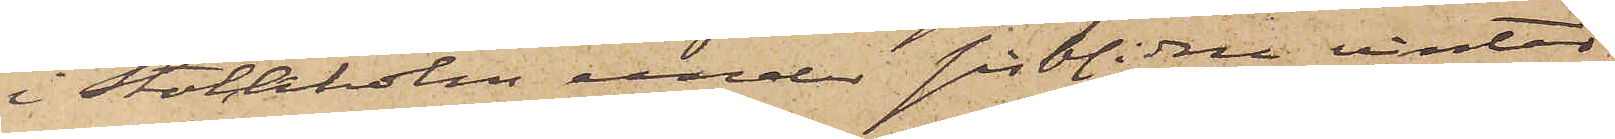i Stockholm under sistlidne vinter
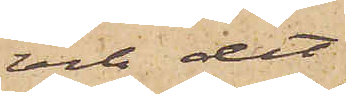och det
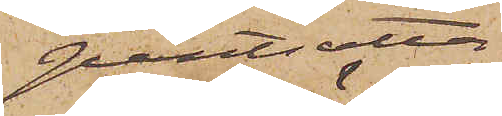pantsatta
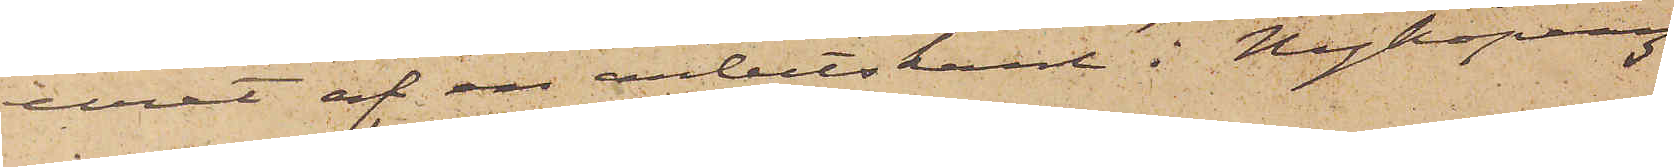uret af en arbetskarl i Nyköping
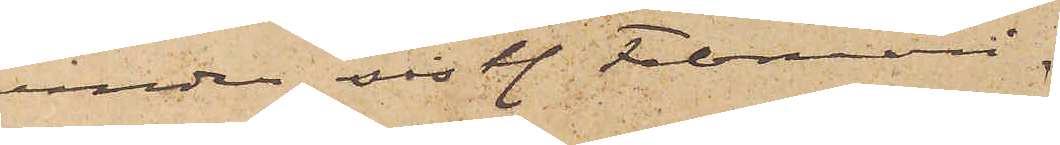under sistl. Februari.
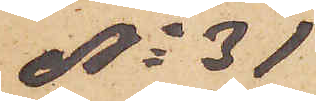No 31
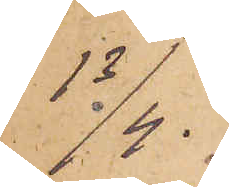13/4.
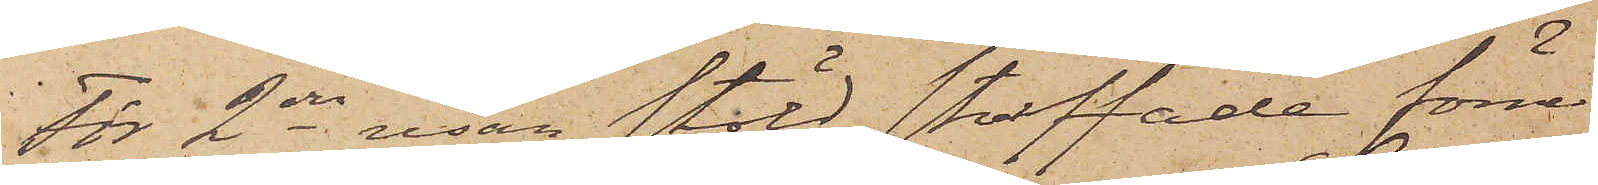För 2dra resan stöld straffade förre
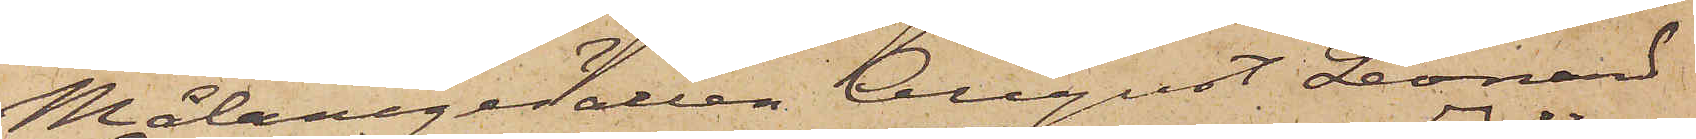Målaregesällen August Leonard
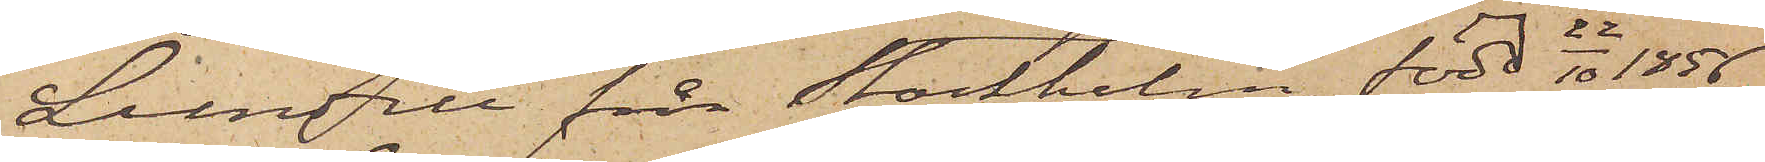Lundell från Stockholm, född 22/10 1856
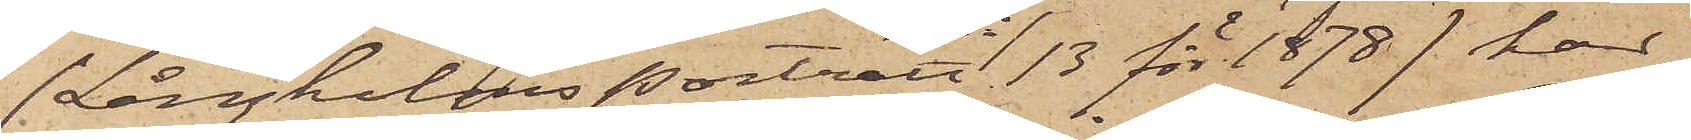(Långholms porträtt No 13 för 1878) har
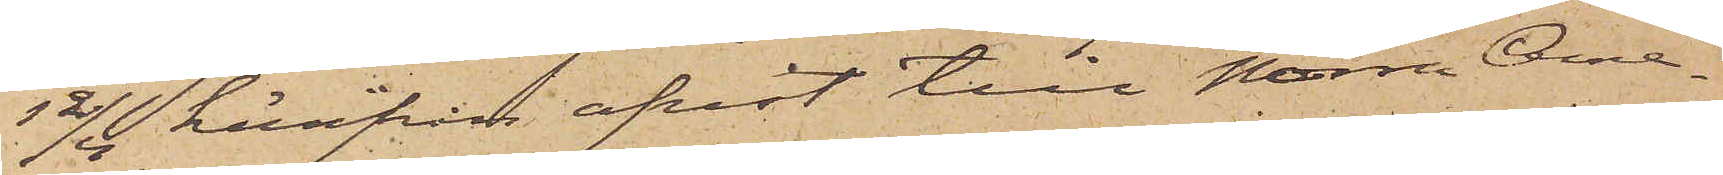12/4 härifrån afrest till Norra Ame¬
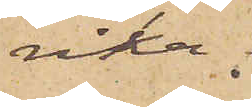rika.
